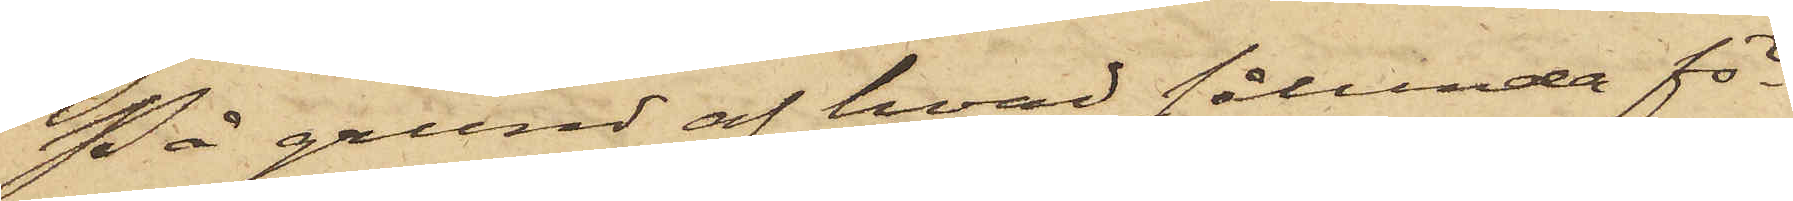På grund af hvad sålunda för¬
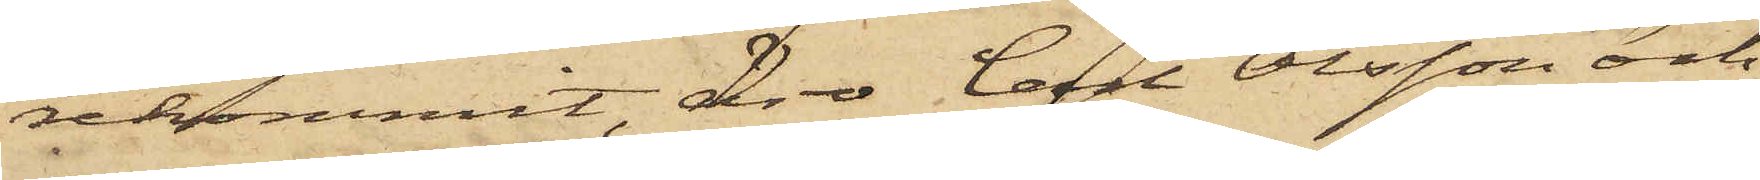rekommit, äro Carl Olsson och
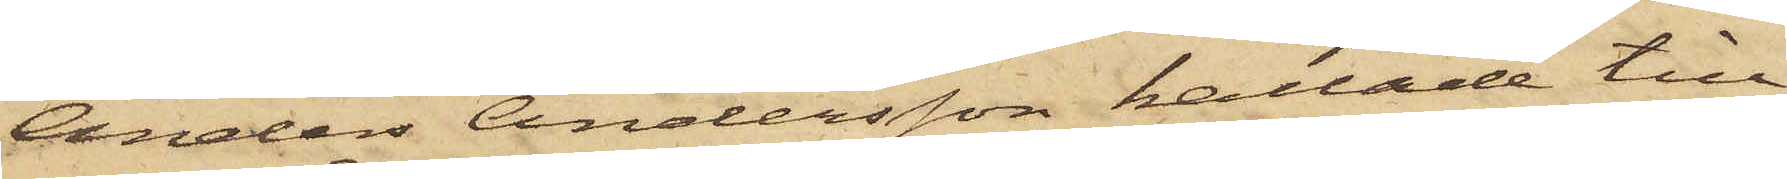Anders Andersson kallade till
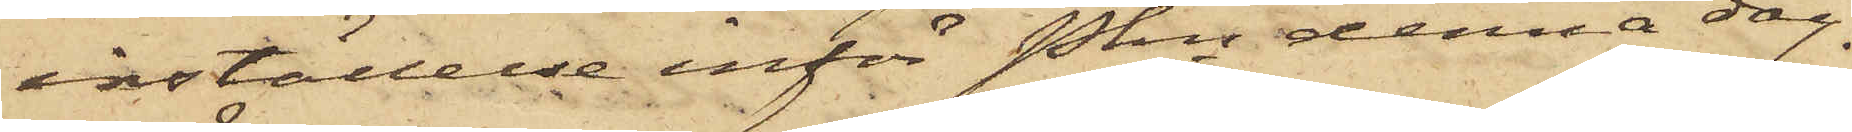inställelse inför Pkn denna dag.
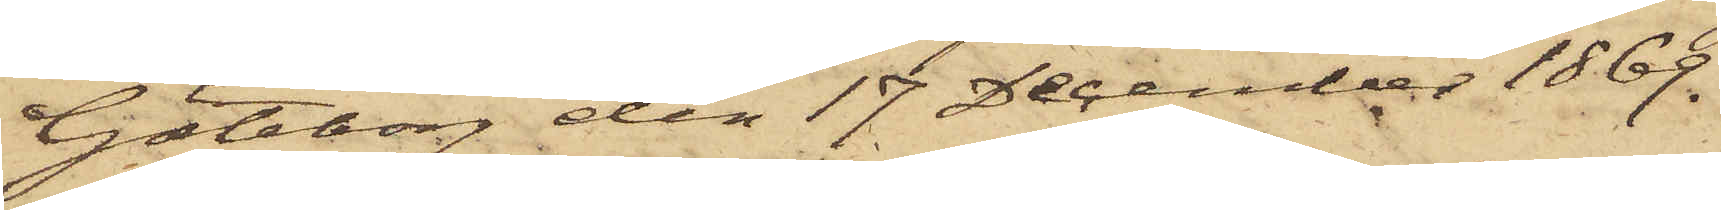Göteborg den 17 December 1869.
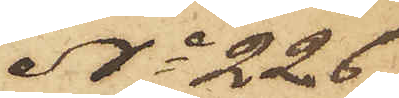No 226
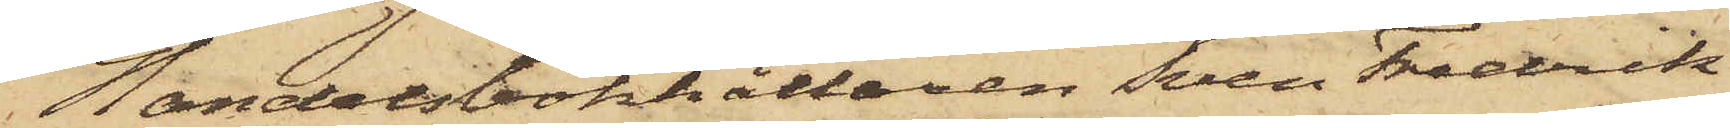Handelsbokhållaren Sven Fredrik
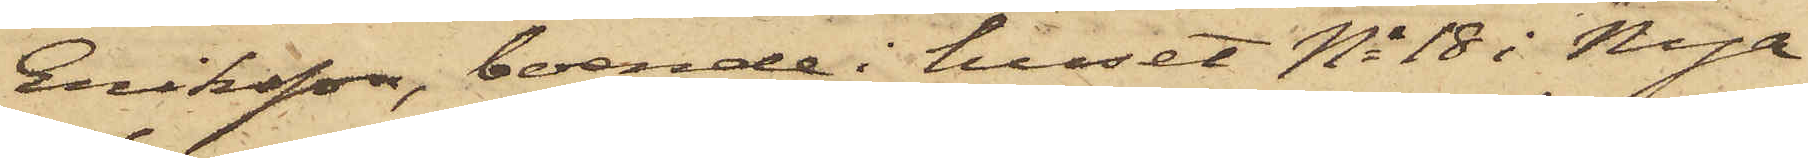Eriksson, boende i huset No 18 i Nya
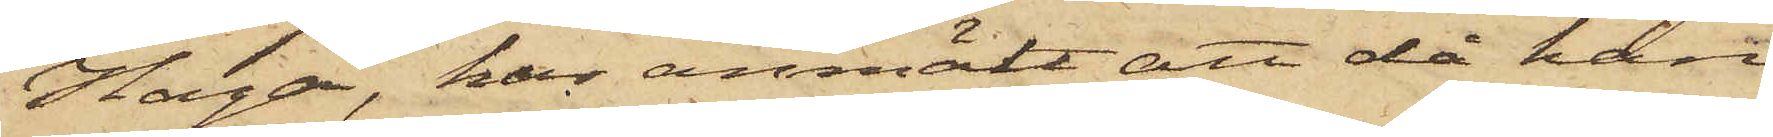Haga, har anmält att då han
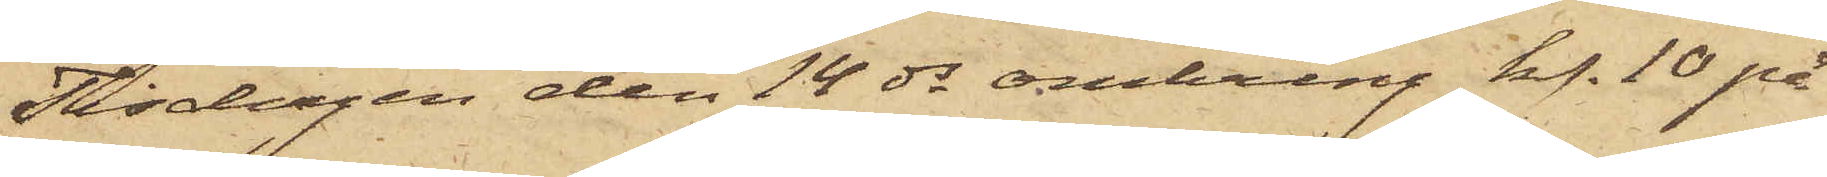Tisdagen den 14 ds omkring kl. 10 på
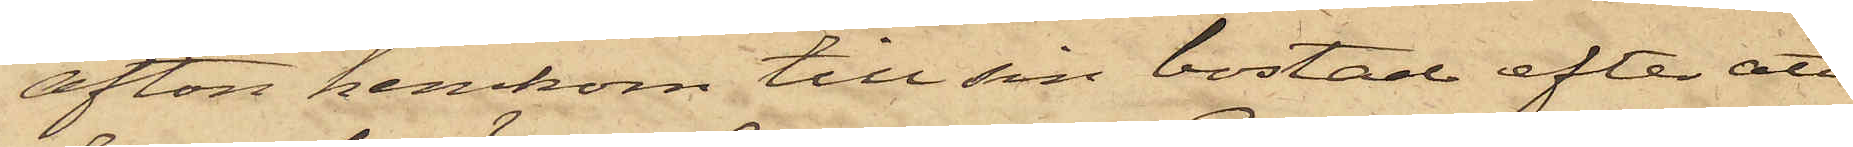afton hemkom till sin bostad efter att
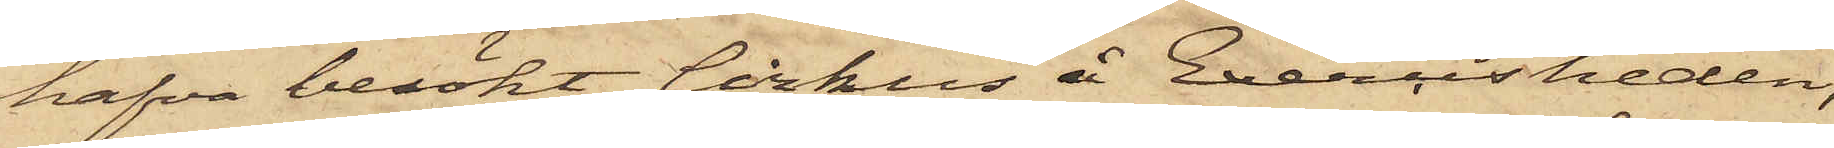hafva besökt Cirkus å Exercisheden,
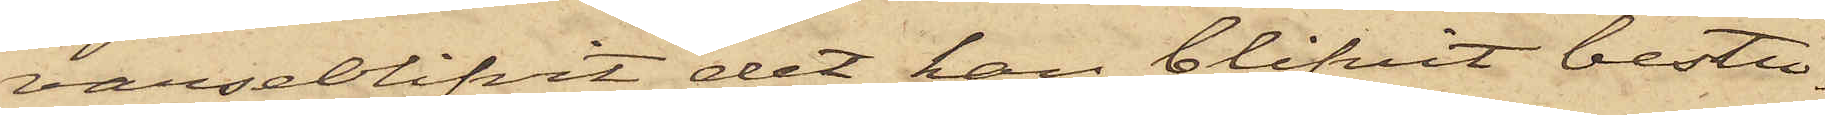varseblifvit det han blifvit bestu¬
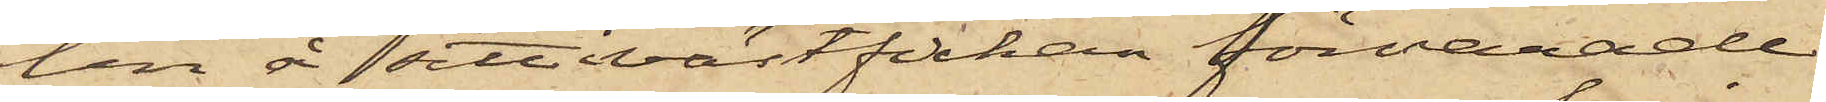len å sitt västfickan förvarade
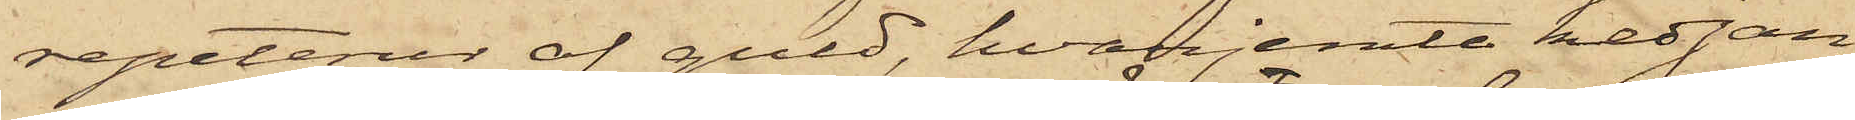repeterur af guld, hvarjemte kedjan,
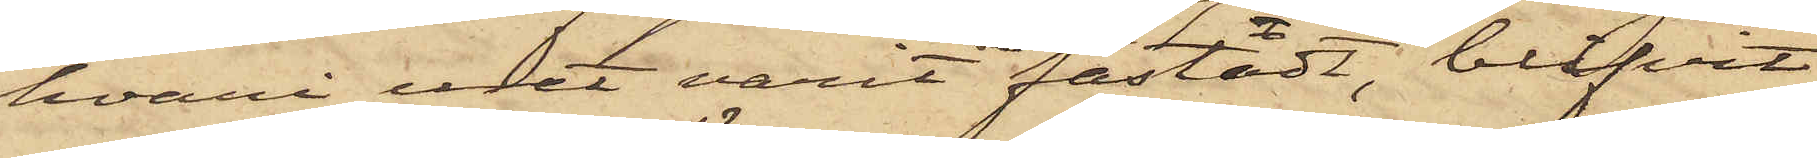hvari uret varit fästadt, blifvit
